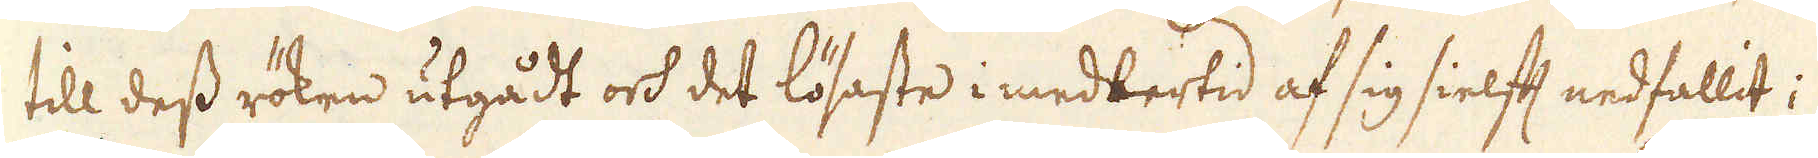till dess röken utgådt och det lösaste i medlertid af sig sielft nedfallit;
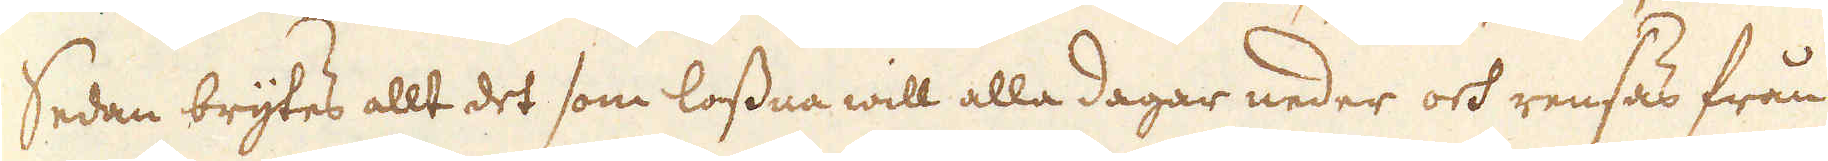Sedan brytes allt det som lossna will alla dagar neder och rensas från
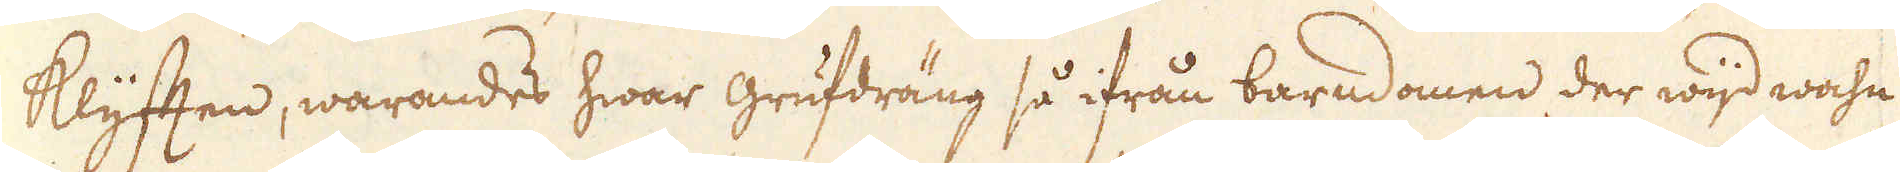klyfften, warandes hwar grufdräng så ifrån barndomen der wijd wahn
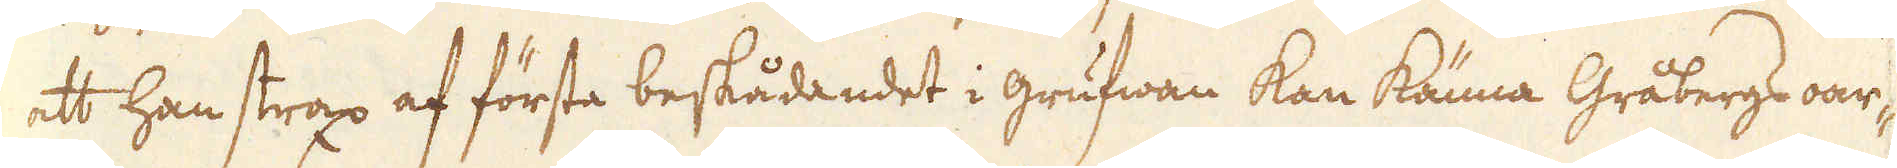att han strax af första beskådandet i grufwan kan känna Gråbergs oar-
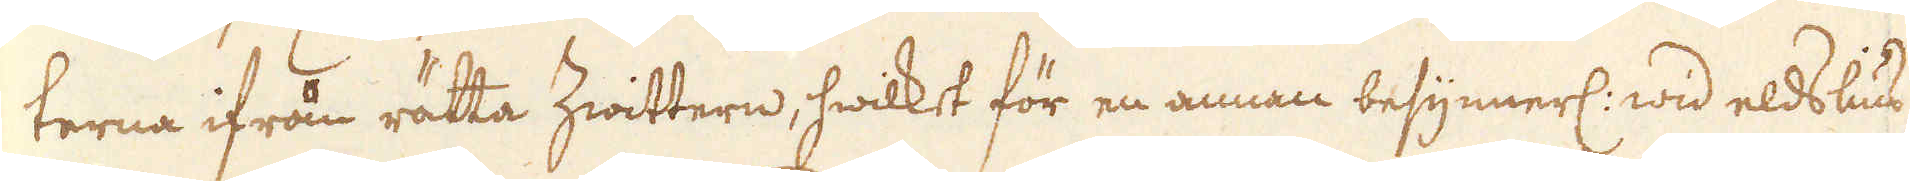terna ifrån rätta Zwittern, hwilket för en annan besynnerl: wid eldslius
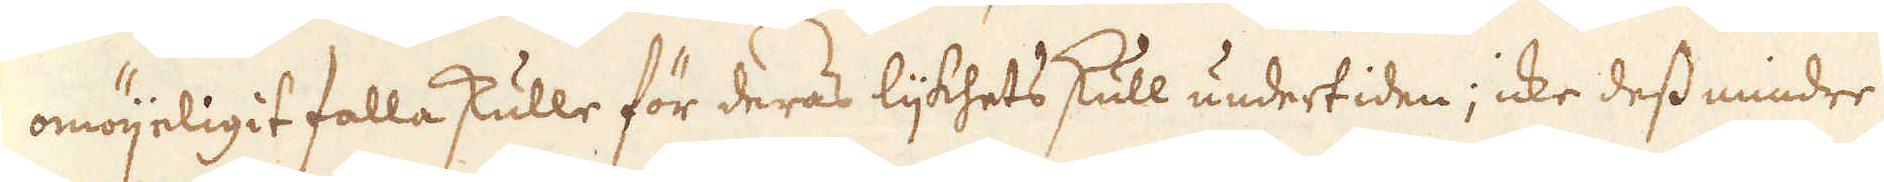omöijeligit falla skulle för deras lijkhets skull undertiden; icke dess mindre
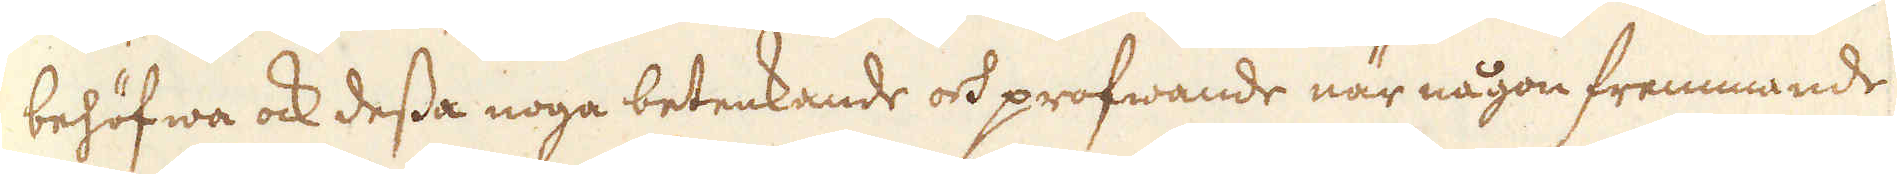behöfwa ock dessa noga betenkande och profwande när någon fremmande
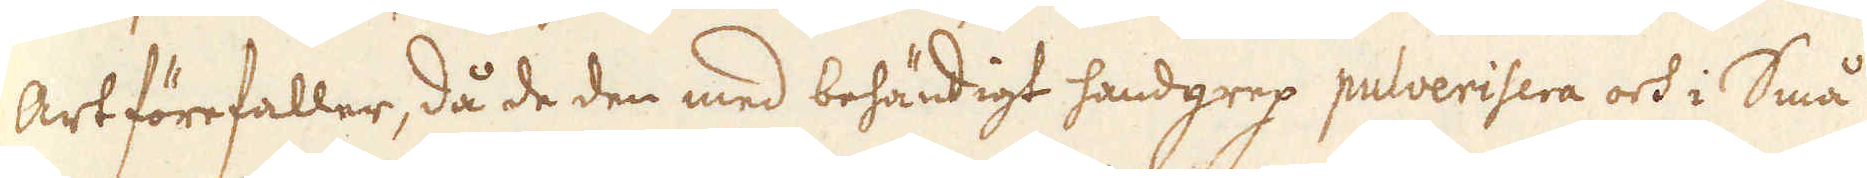Art förefaller, då de den med behändigt handgrep pulverisera och i Små
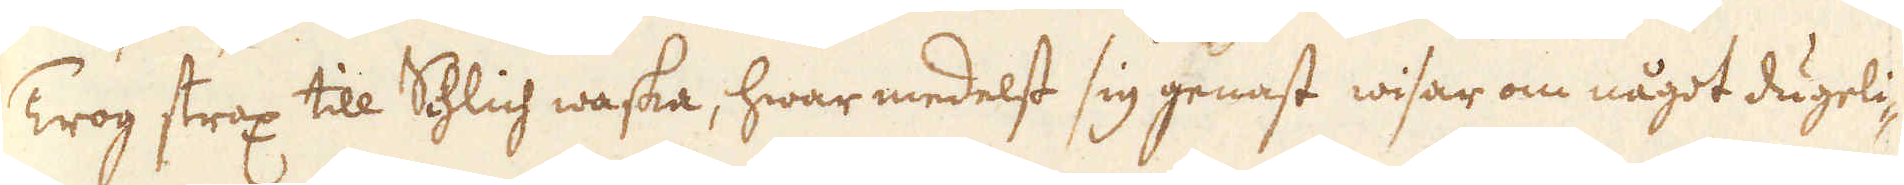Trog strax till Schlich waska, hwar medelst sig genast wisar om något dugeli-
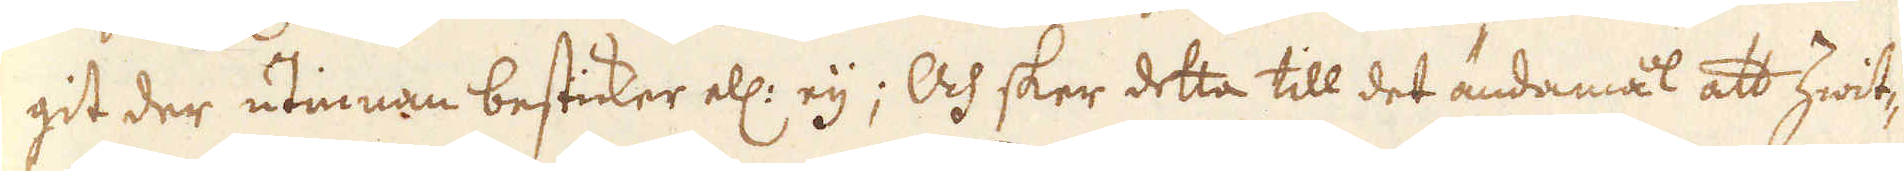git der utinnan besticker ell: eij; Och sker detta till det ändamål att hwit-
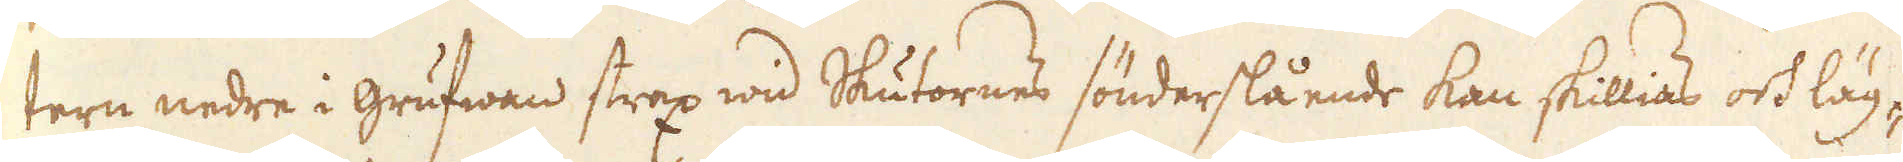tern nedre i grufwan strax wid Skutornes sönderslående kan skillias och läg-
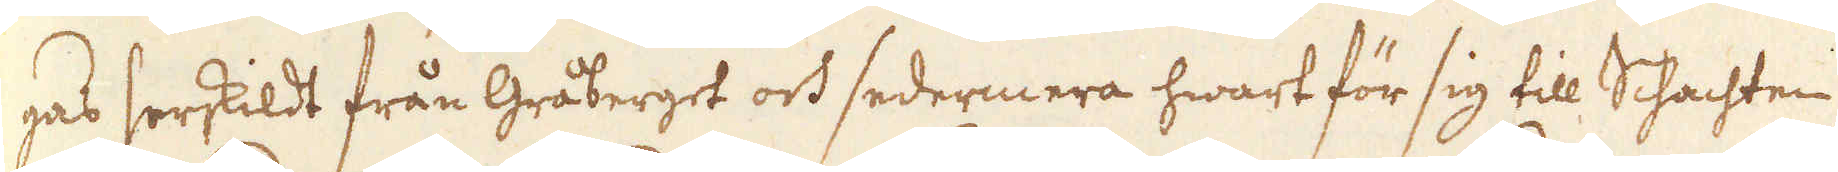gas särskildt från Gråberget och sedermera hwart för sig till Schachten
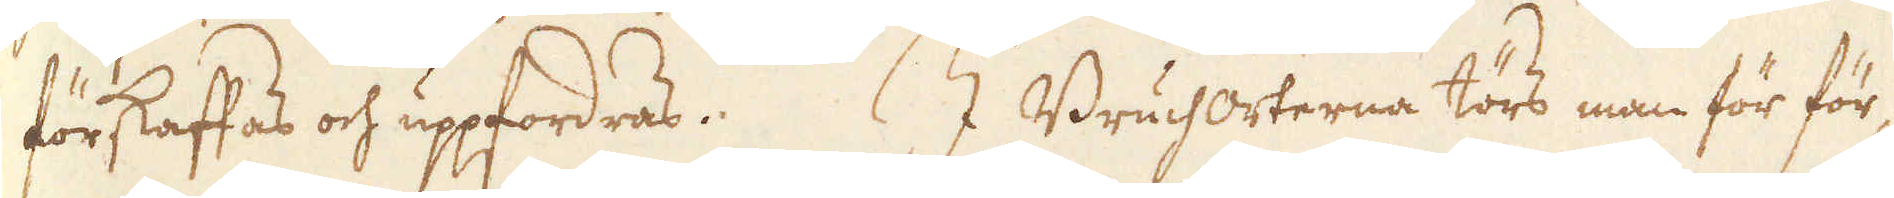förskaffas och uppfordras. I Bruchorterna törs man för för-
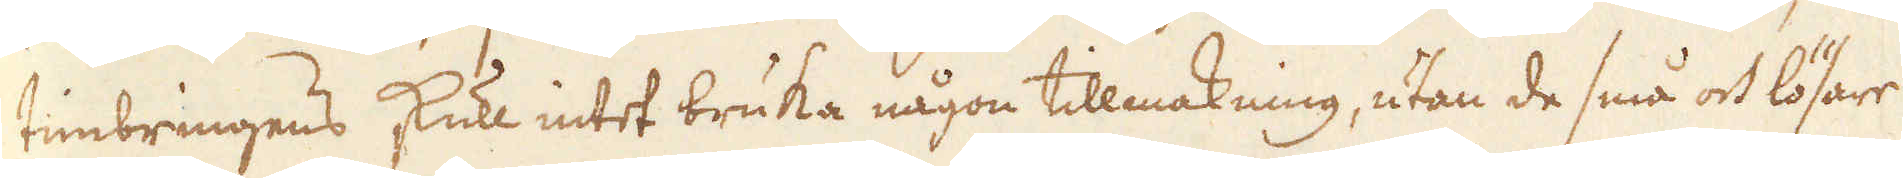timbringens skull intet bruka någon tillmakning, utan de små och lösare
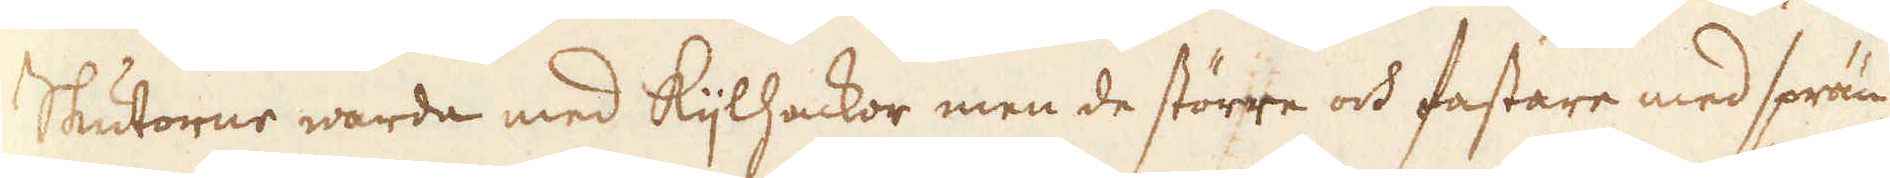Skutorne warda med kijlhackor men de större och fastare med sprän-
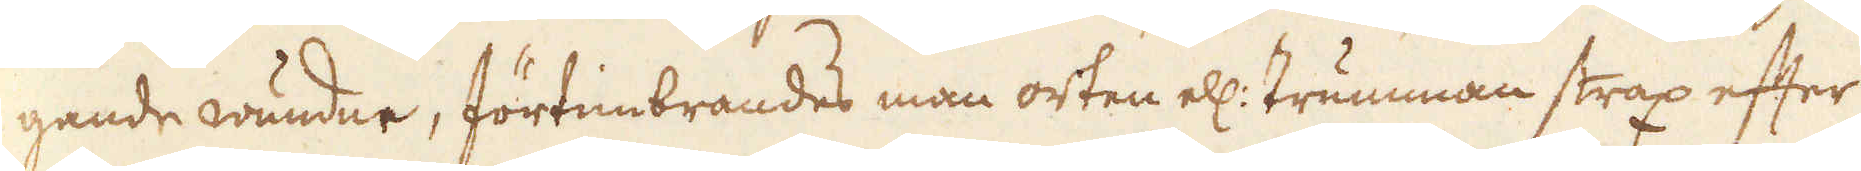gande wundne, förtimbrandes man orten ell: trumman strax efter
